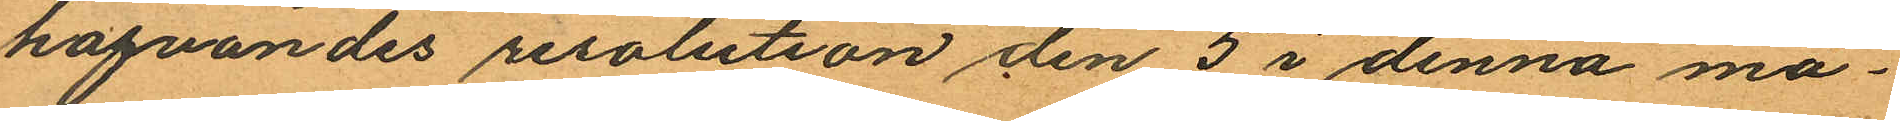hafvandes resolution den 5 i denna må¬
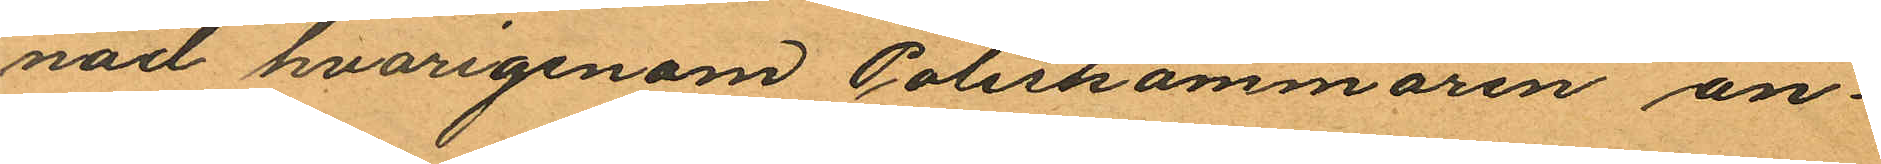nad hvarigenom Poliskammaren an¬
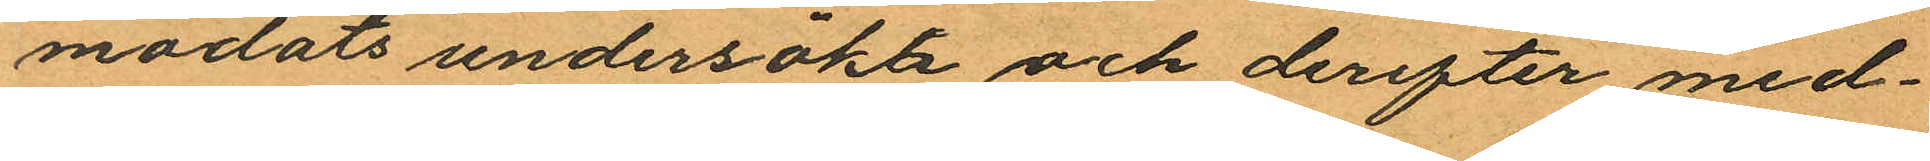modats undersöka och derefter med¬
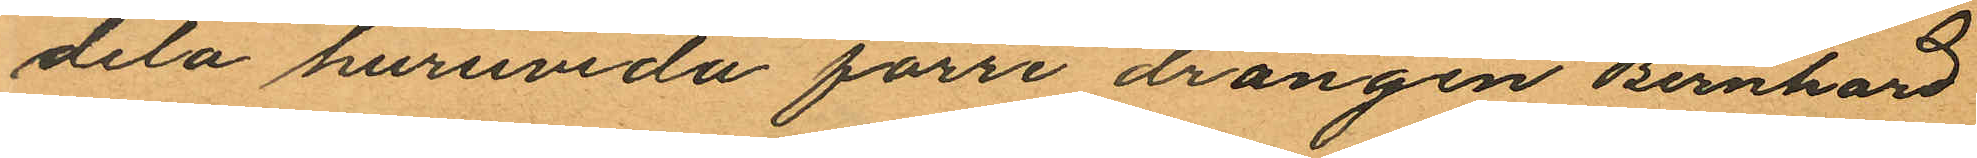dela huruvida förre drängen Bernhard
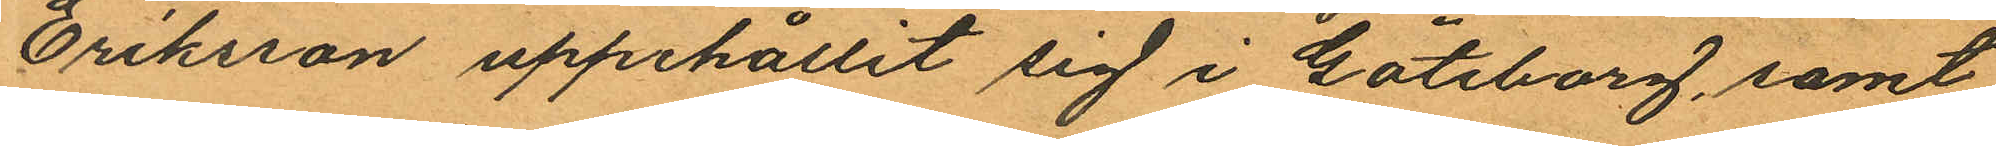Eriksson uppehållit sig i Göteborg, samt
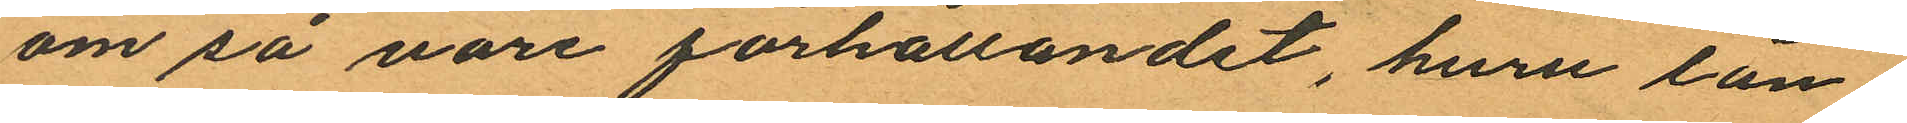om så vari förhållandet, huru län¬
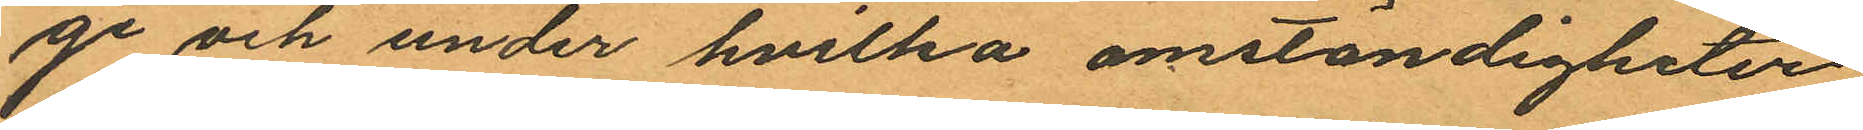ge och under hvilka omständigheter
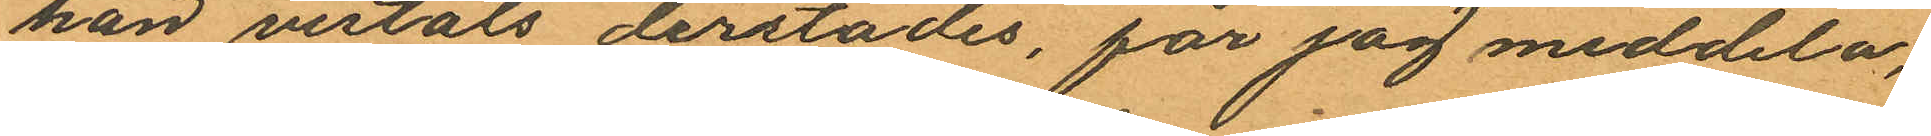han vistats derstädes, får jag meddela,
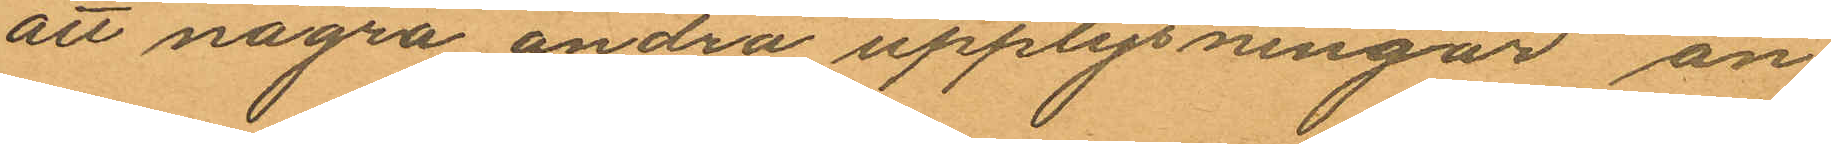att några andra upplysningar än
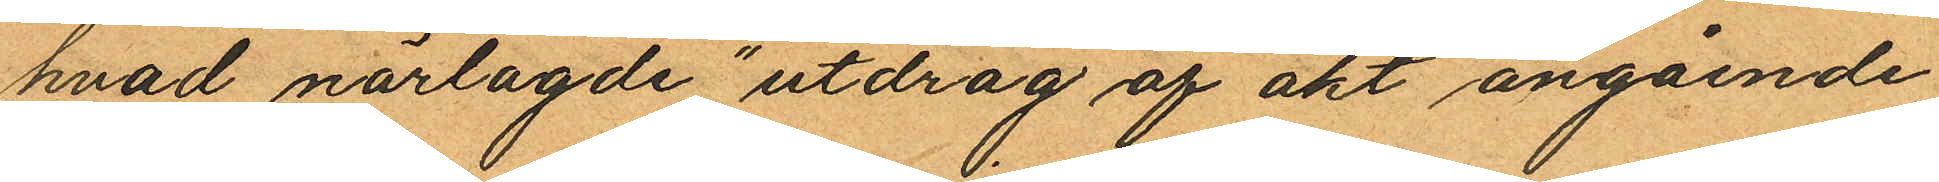hvad närlagde "utdrag af akt angående
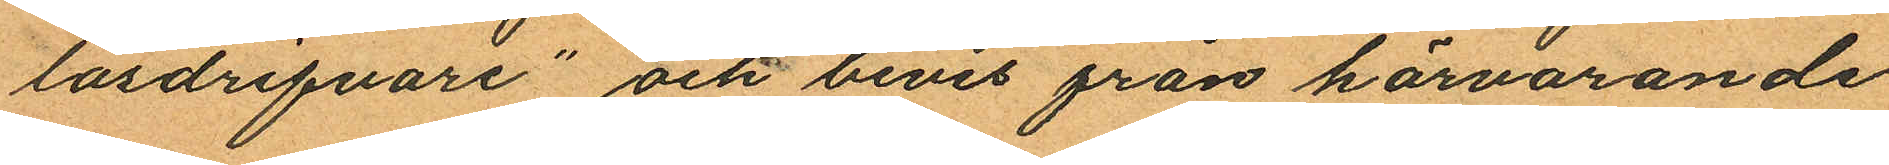lösdrifvare" och bevis från härvarande
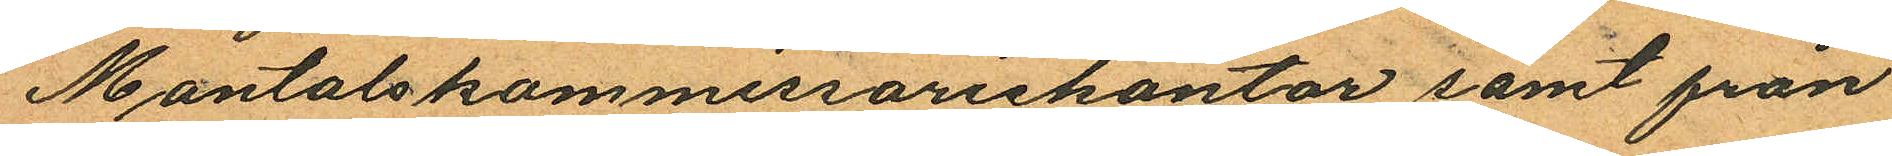Mantalskommissariekontor samt från
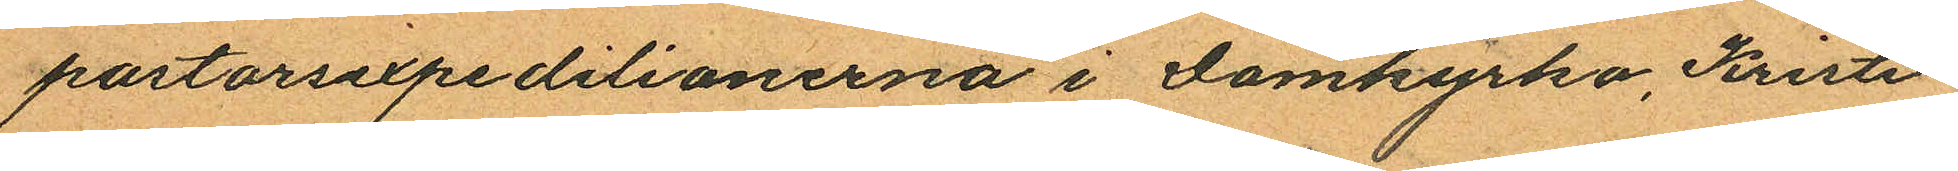pastorsexpeditionerna i Domkyrko, Kristi¬
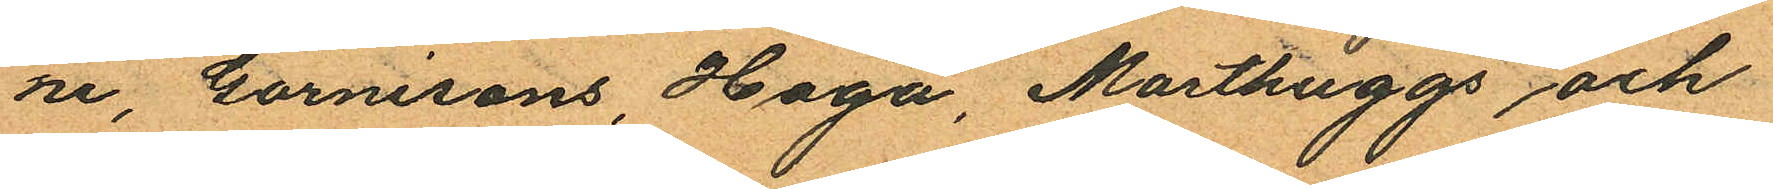ne, Garnisons, Haga, Masthuggs och
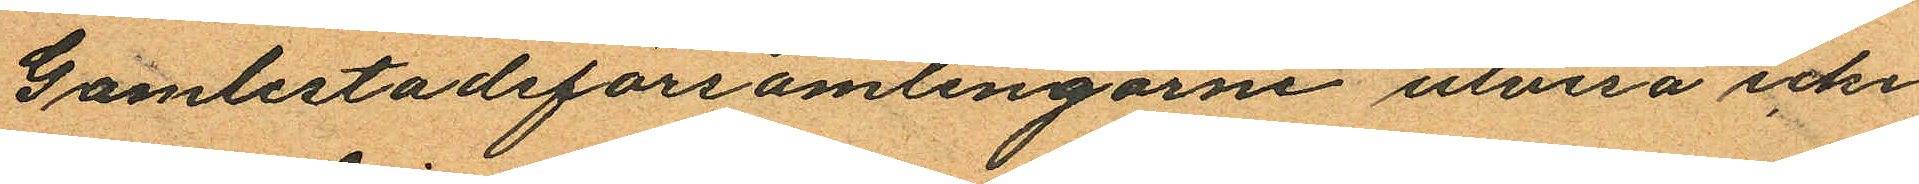Gamlestadsförsamlingarne utvisa icke
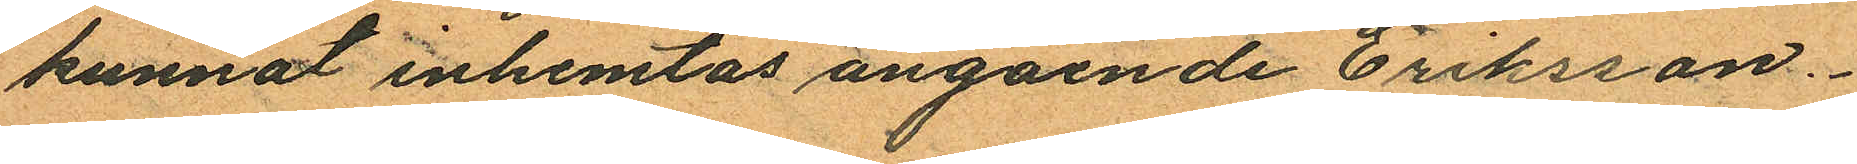kunnat inhemtas angående Eriksson.
